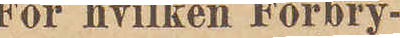For hvilken Forbry¬
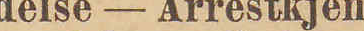delse - Arrestkjen¬
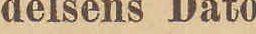delsens Dato
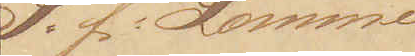S: f: Lomme¬
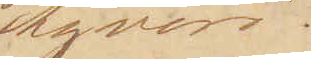tyveri.
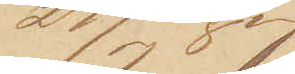27/7 87.
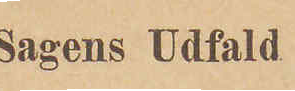Sagens Udfald
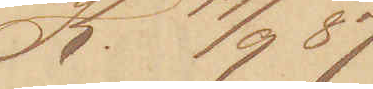K. 17/9 87
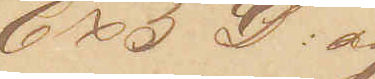6 x 5 D: og 
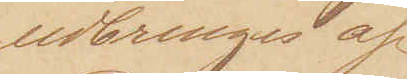udbringes af
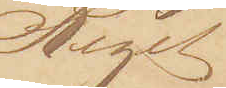Riget
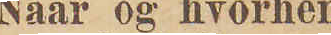Naar og hvorhen
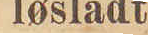løsladt
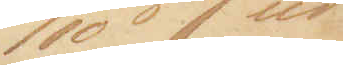27/10 87 ud¬
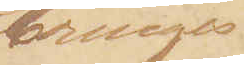bringes
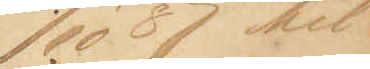30/10 87 til
